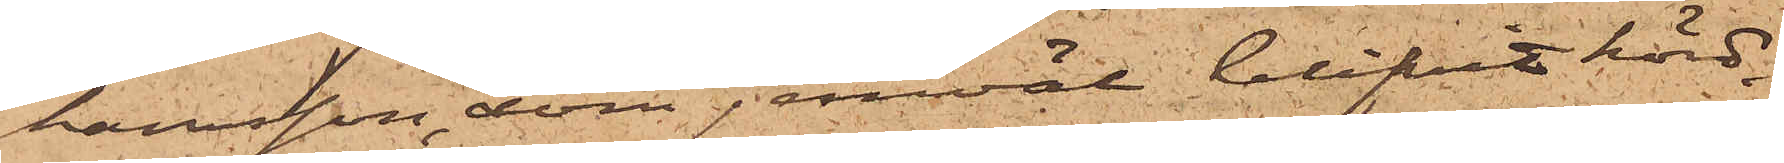hamsson, som jemväl blifvit hörd,
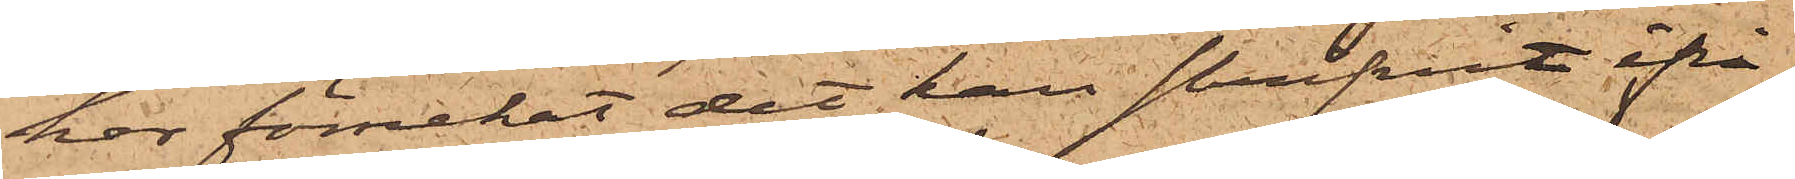har förnekat det han skrifvit ifrå¬
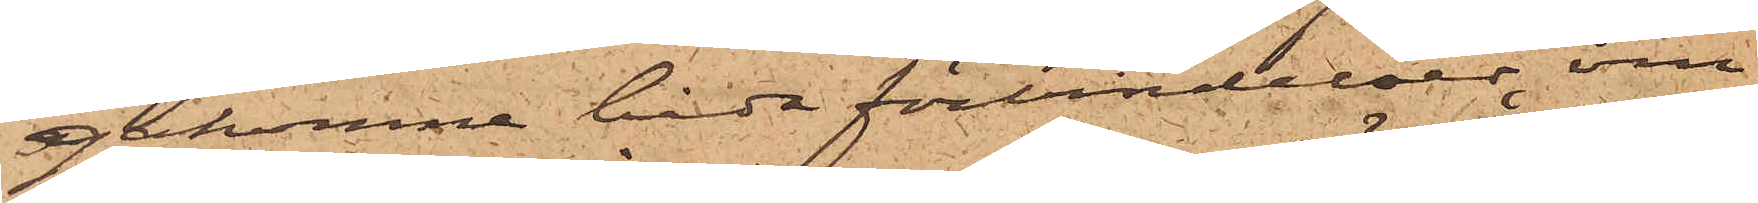gakomne båda förbindelser, om
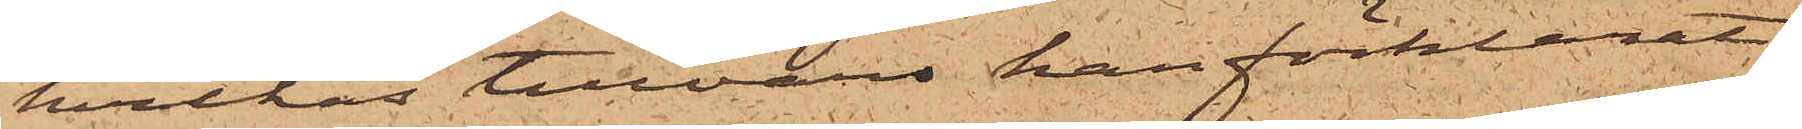hvilkas tillvaro han förklarat
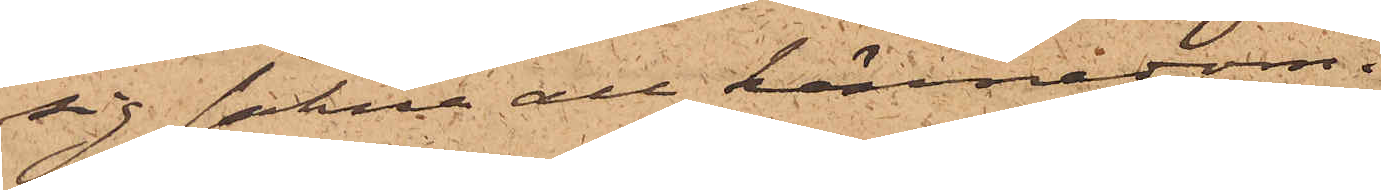sig sakna all kännedom.
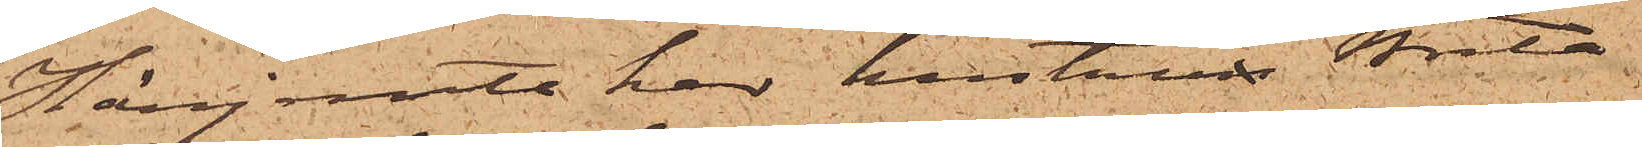Härjemte har hustrun Brita
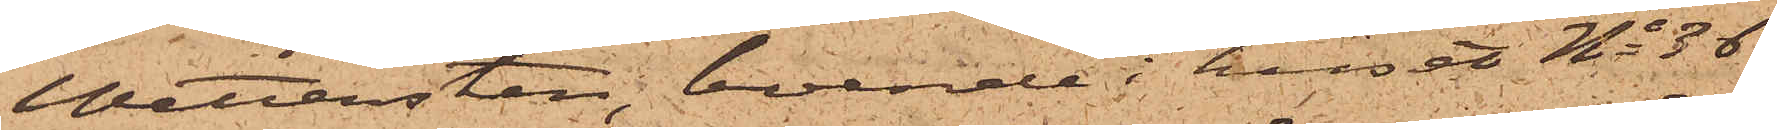Wettersten, boende i huset No 36
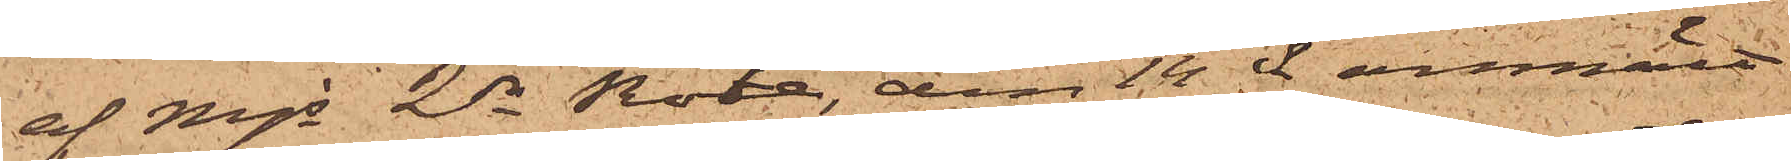af Mjs 2dre Rote, den 14 ds anmält
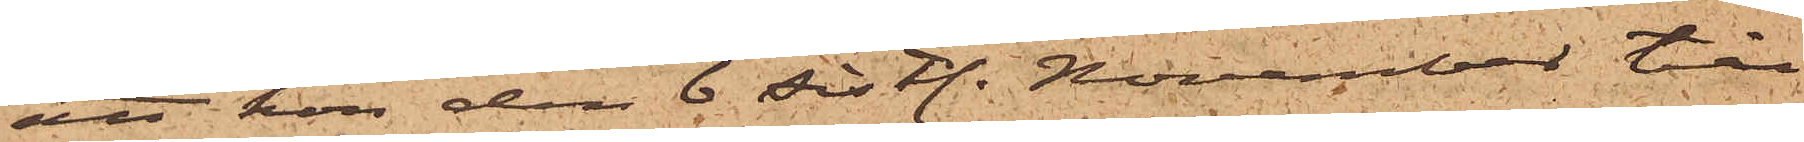att hon den 6 sistl. November till
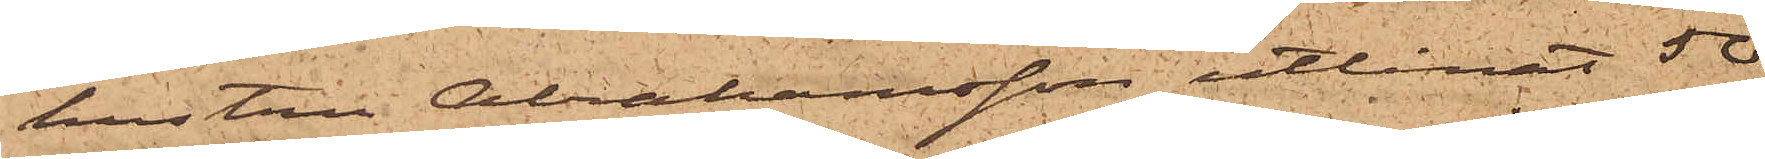hustru Abrahamsson utlånat 50
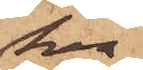kr
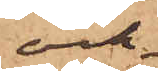och
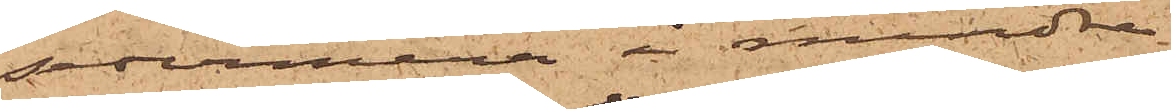sedermera i mindre
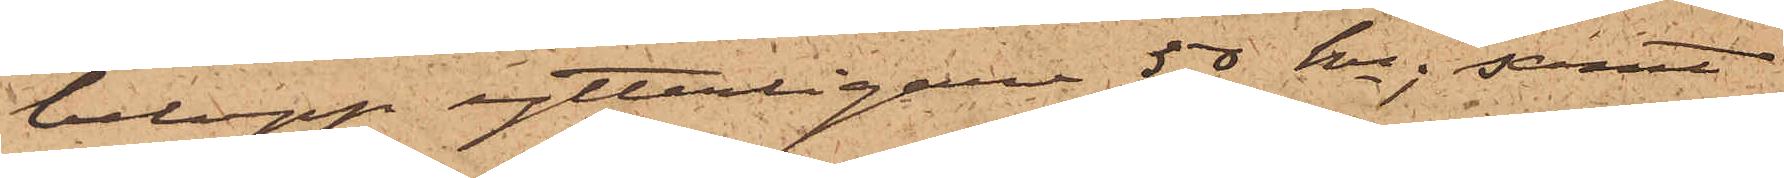belopp ytterligare 50 kr; samt
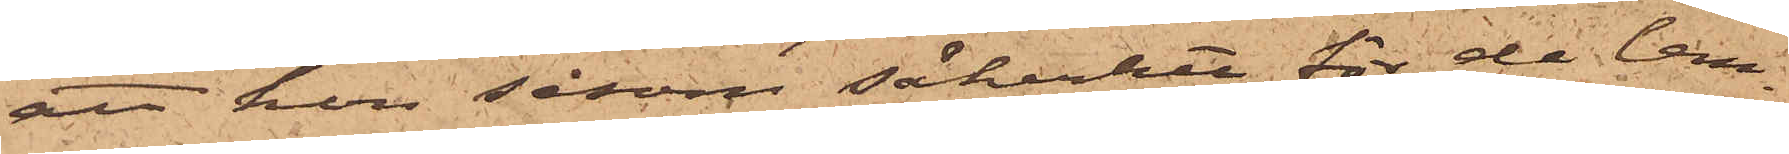att hon såsom säkerhet för de lem¬
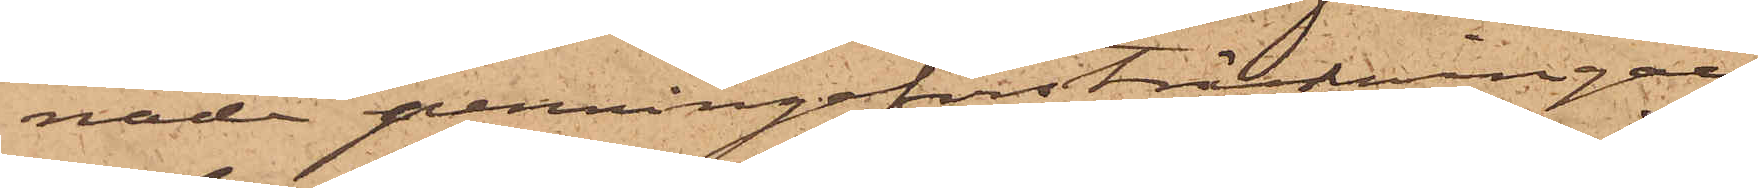nade penningaförsträckningarne
